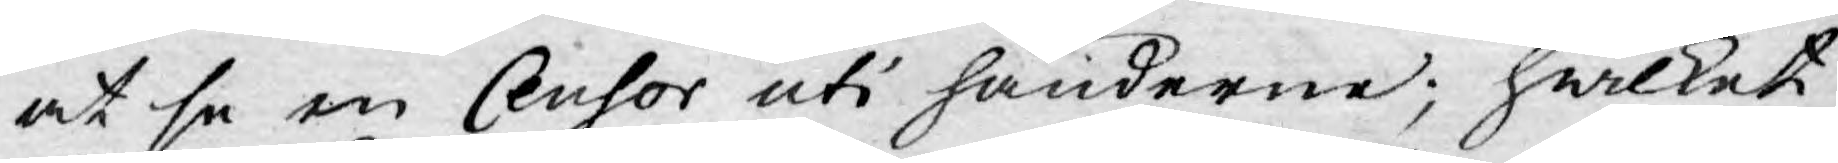at se en Censor uti händerne; hwilket
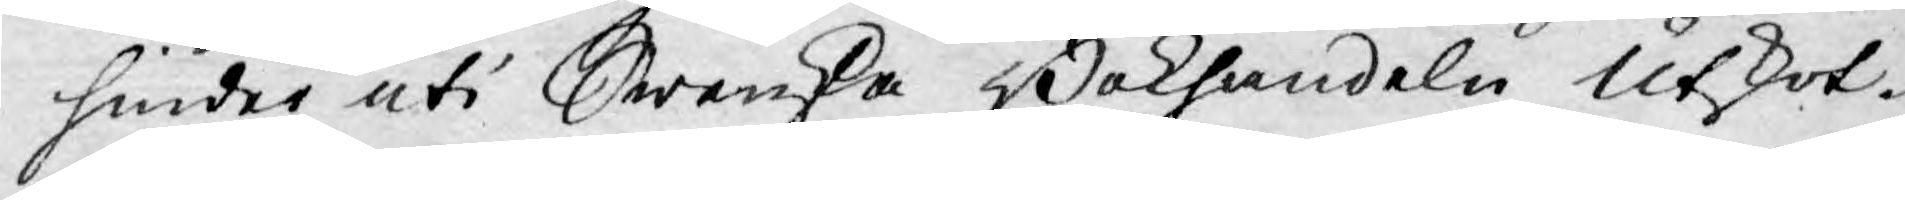hinder uti Swenska Bokhandeln Utskot¬
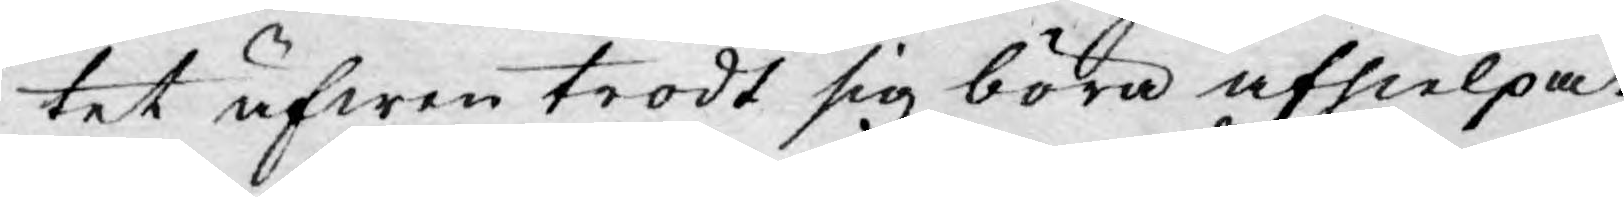tet äfwen trodt sig böra afhielpa.
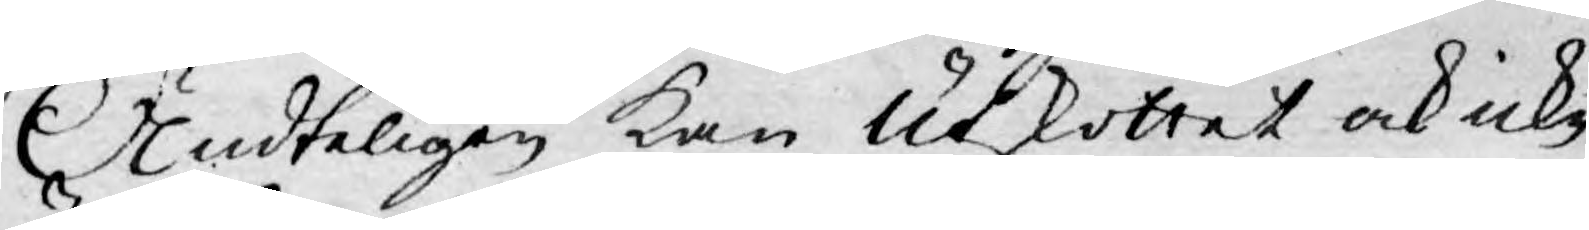Ändteligen kan Utskottet ock icke
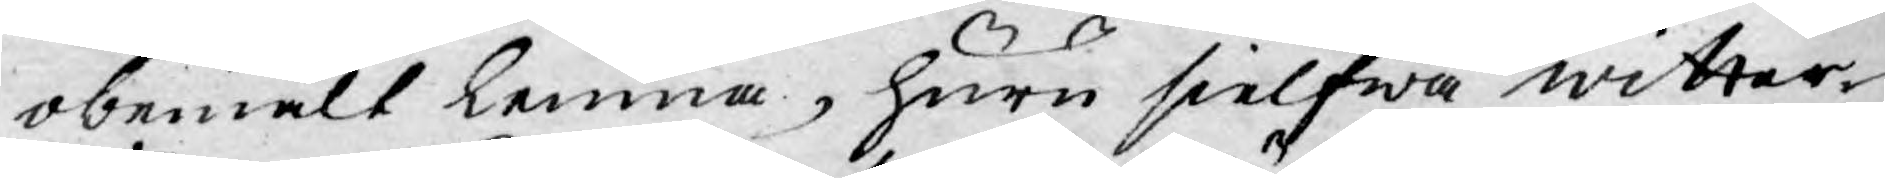obemält lemna, huru sielfwa witter¬
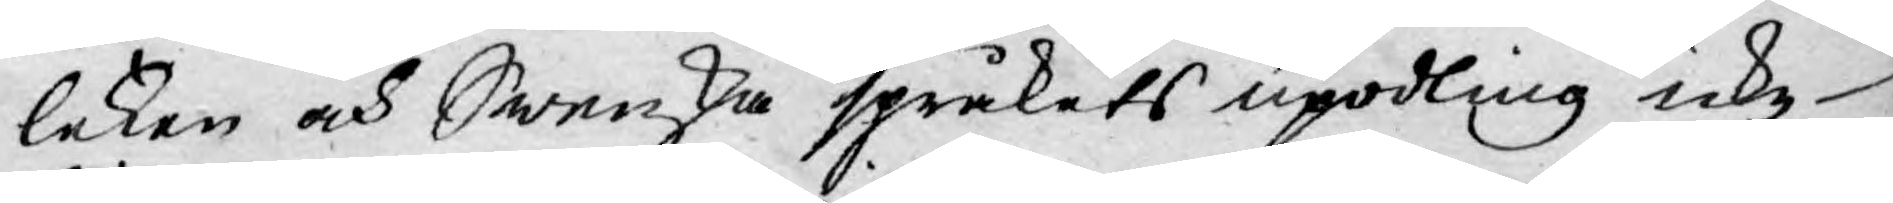leken och Swenska språkets upodling icke
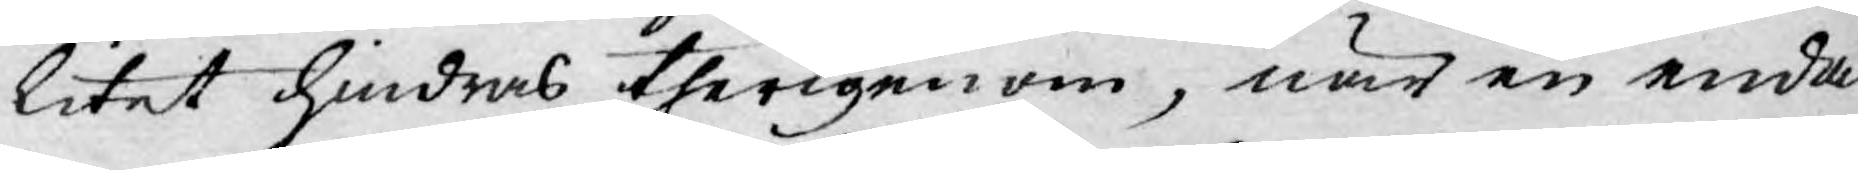litet hindras therigenom, när en enda
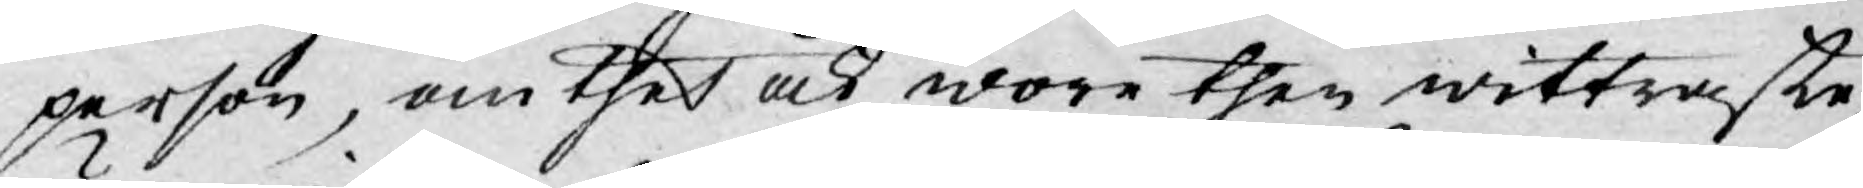person, om thet ock wore then wittraste,
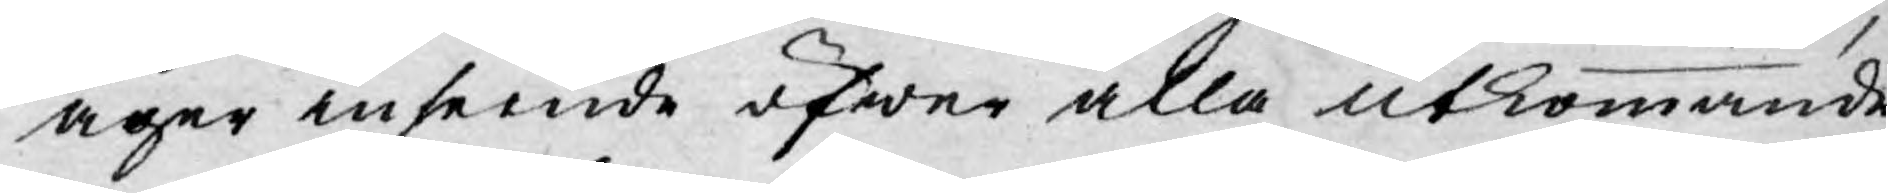äger inseende öfwer alla utkommande
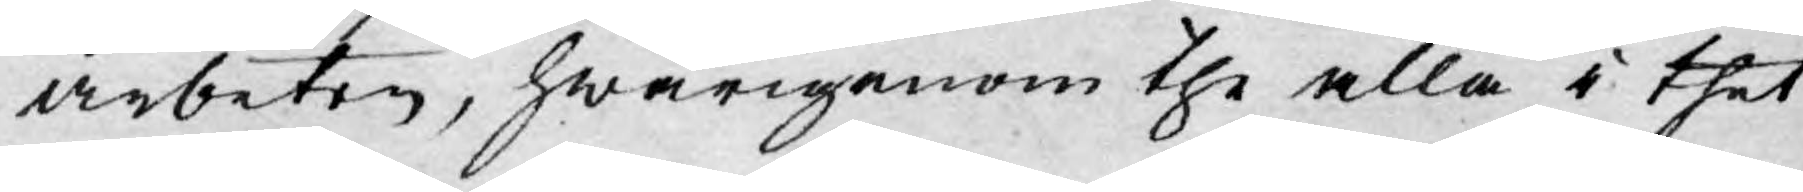arbeten, hwarigenom the alla i thet
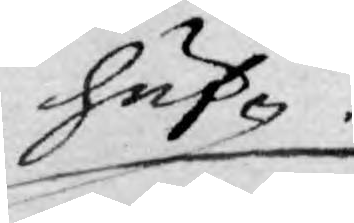huf¬
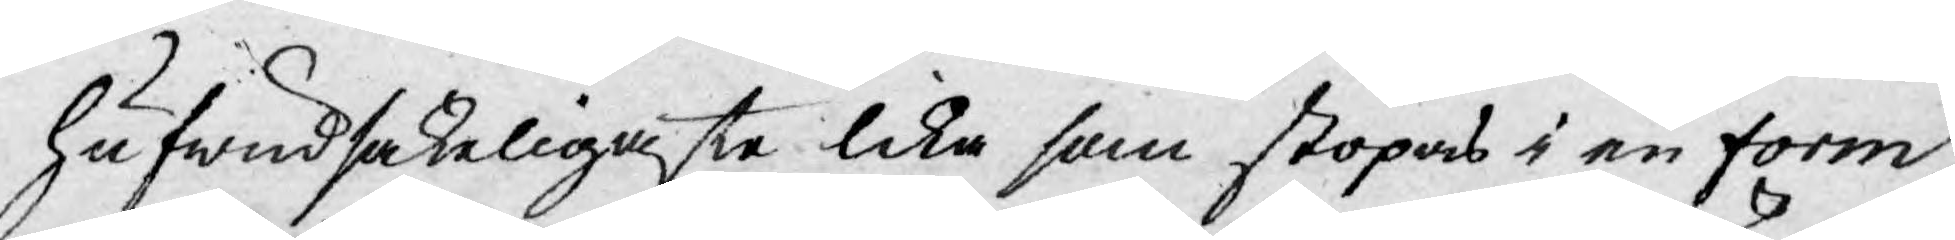hufwudsakeligaste lika som stöpas i en form,
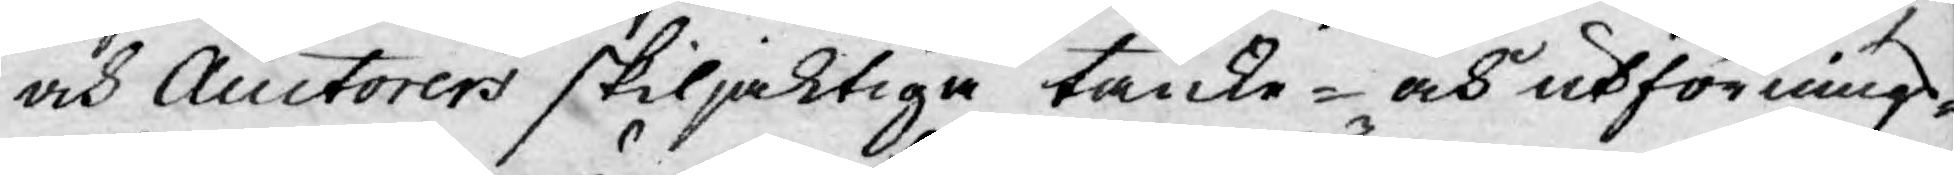och Auctorers skiljaktiga tanke- och utförnings¬
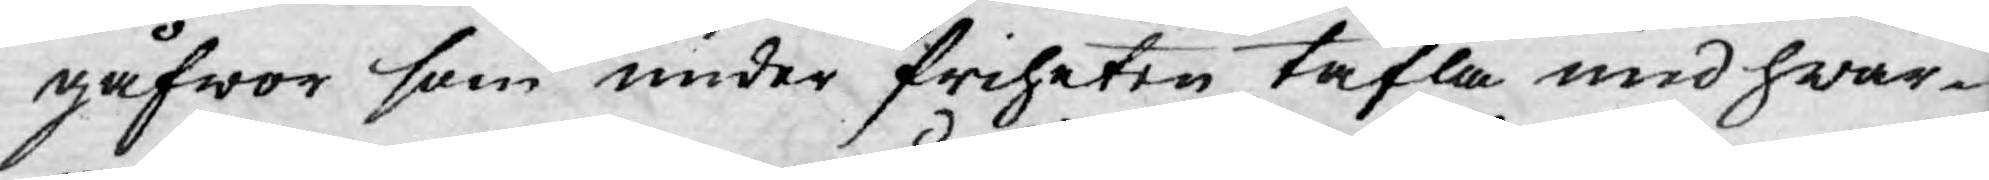gåfwor som under friheten täfla med hwar¬
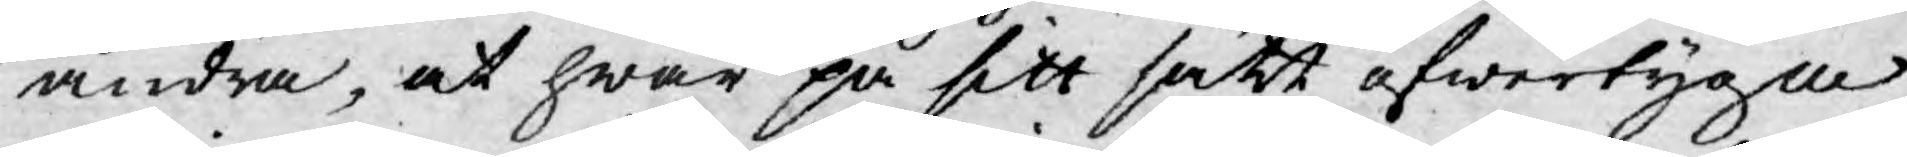andra, at hwar på sitt sätt öfwertyga
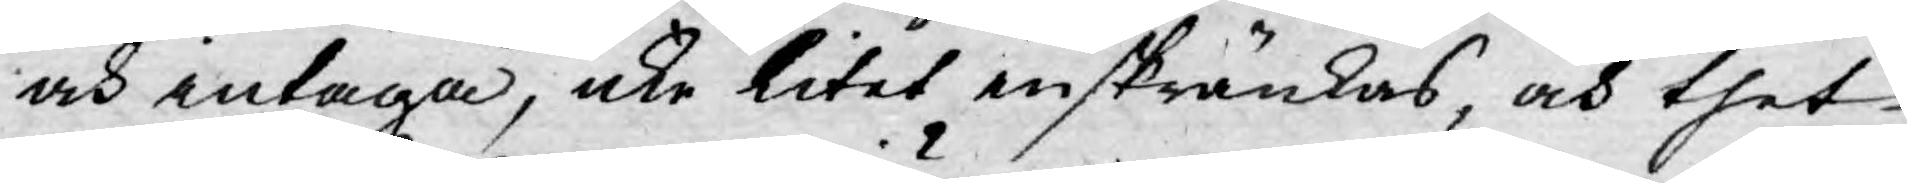och intaga, icke litet inskränkas, och thet
